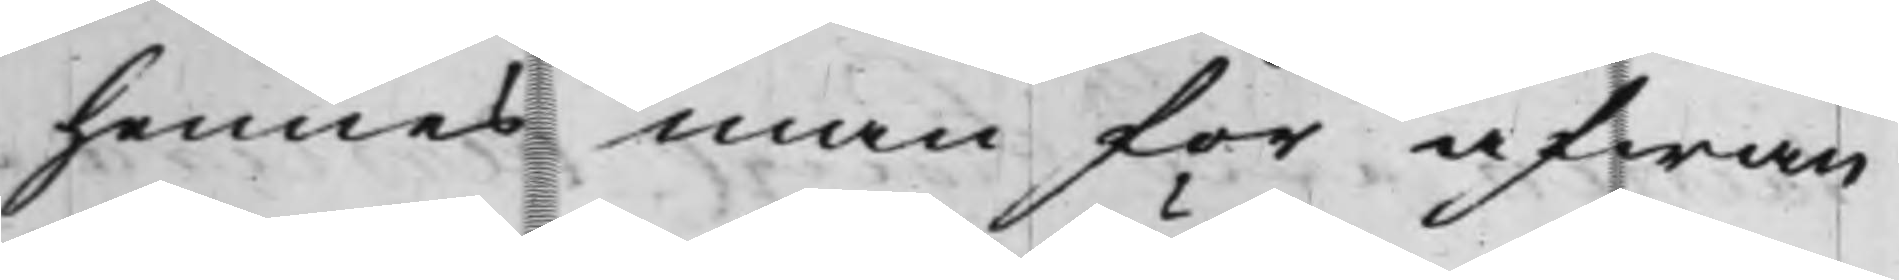hennes man för åfwan
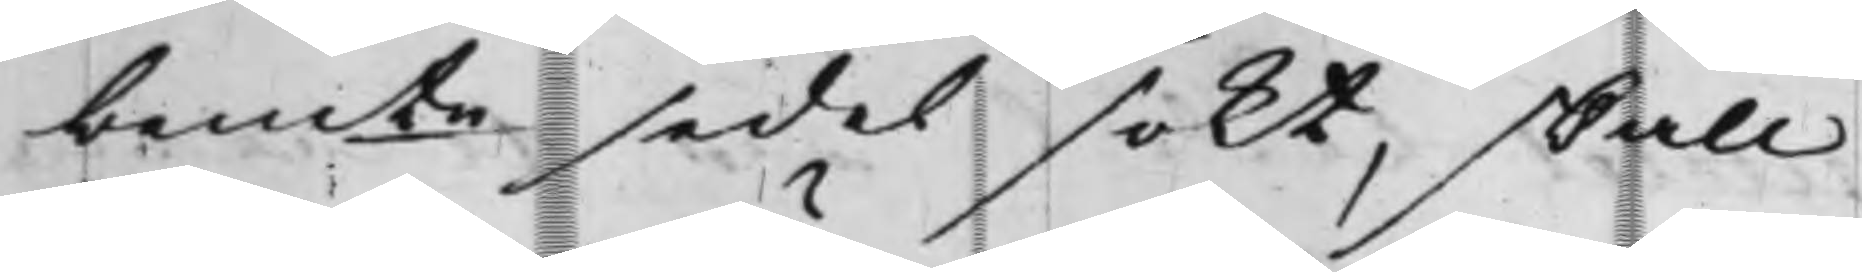bemte sedel sökt, skall
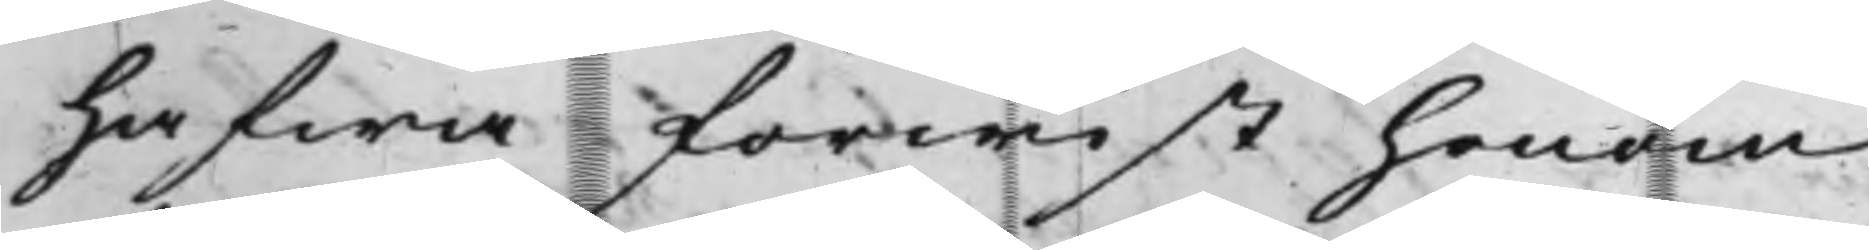hafwa förwist honom
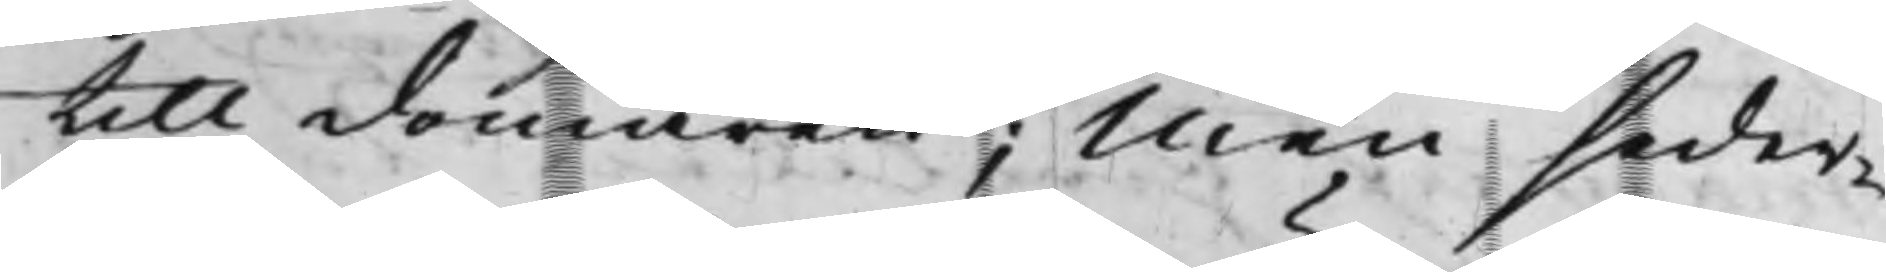till domaren; Men seder¬
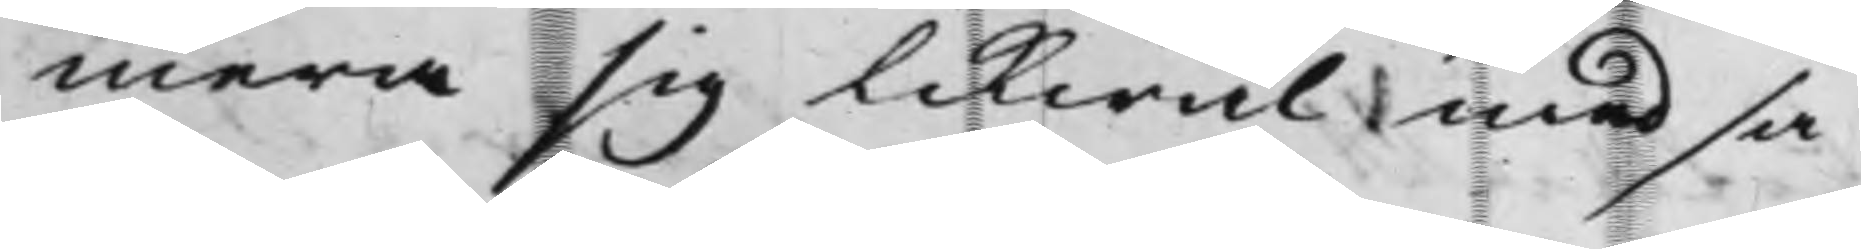mera sig likwäl med sa¬
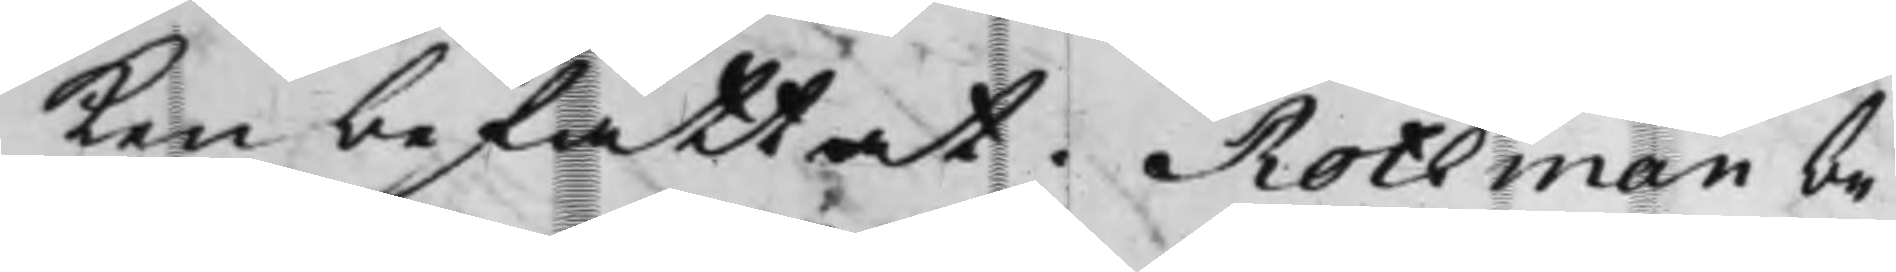ken befattat. Rothman be¬
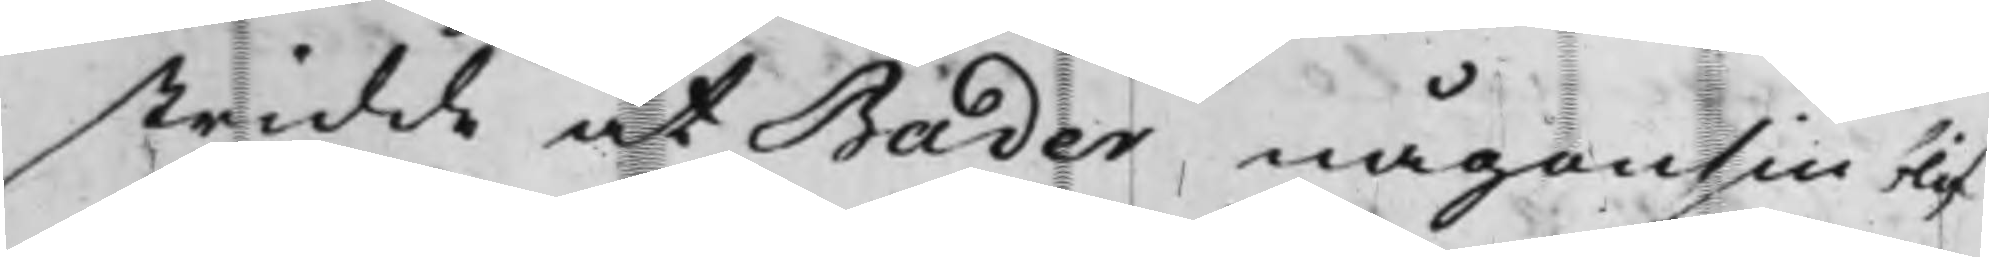stridde at Bader någonsin blif¬
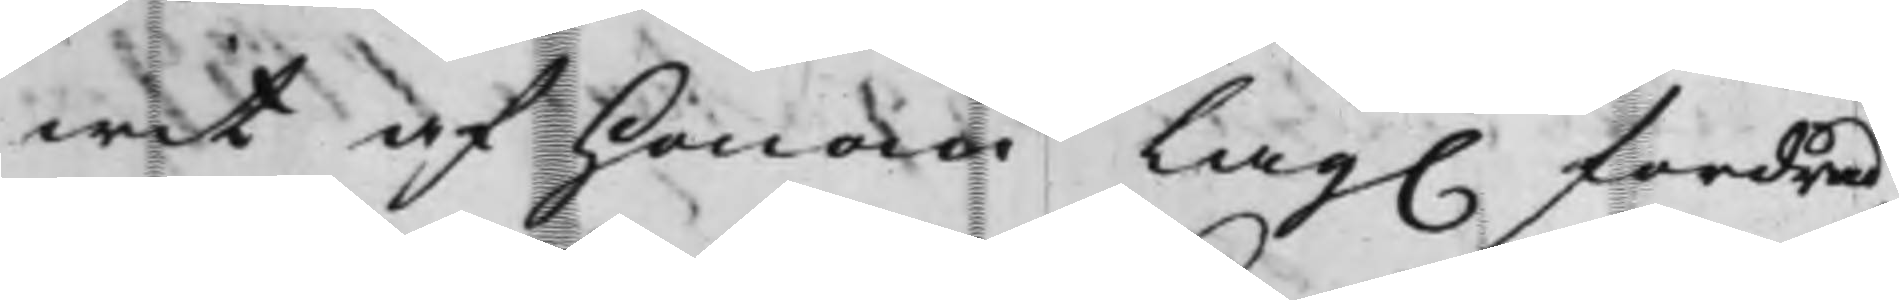wit af honom Lag. fordrad,
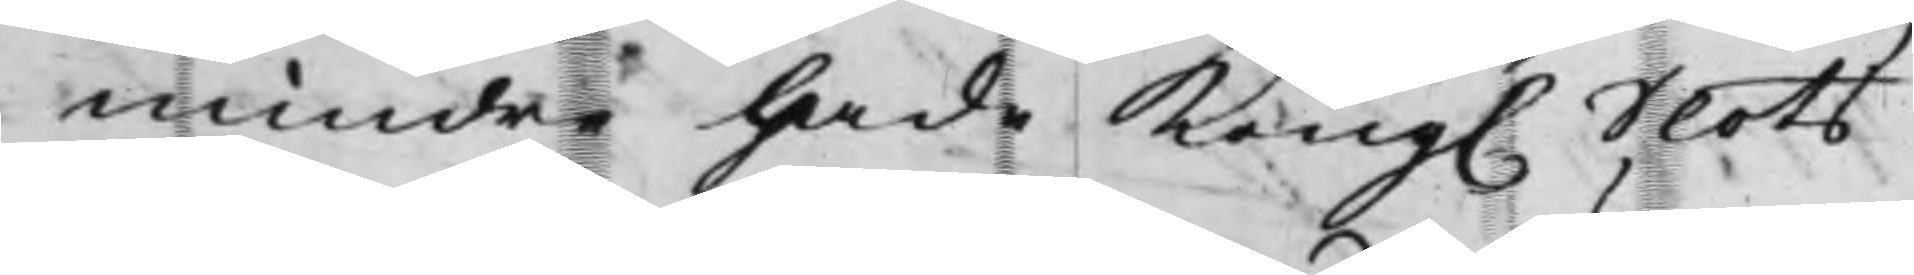mindre hade Kong. Slots¬
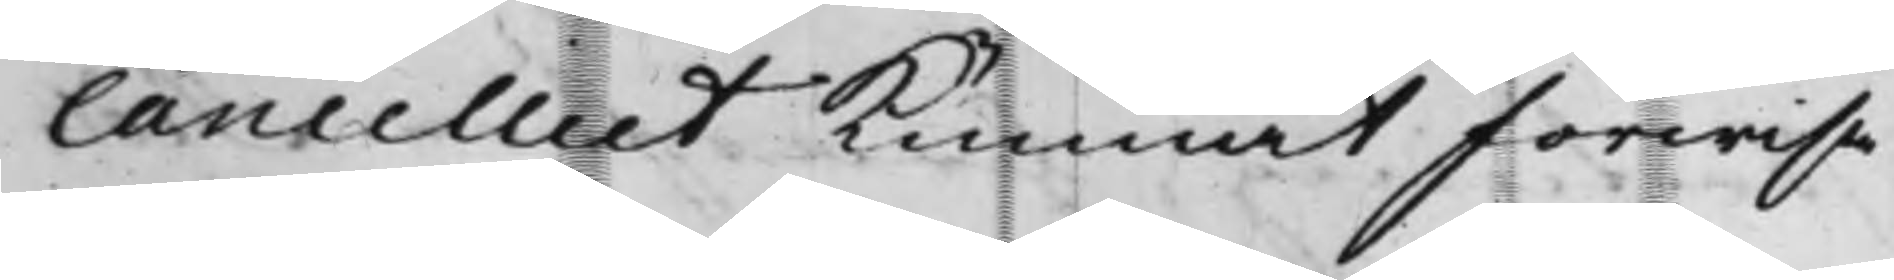Cancelliet kunnat förwisa
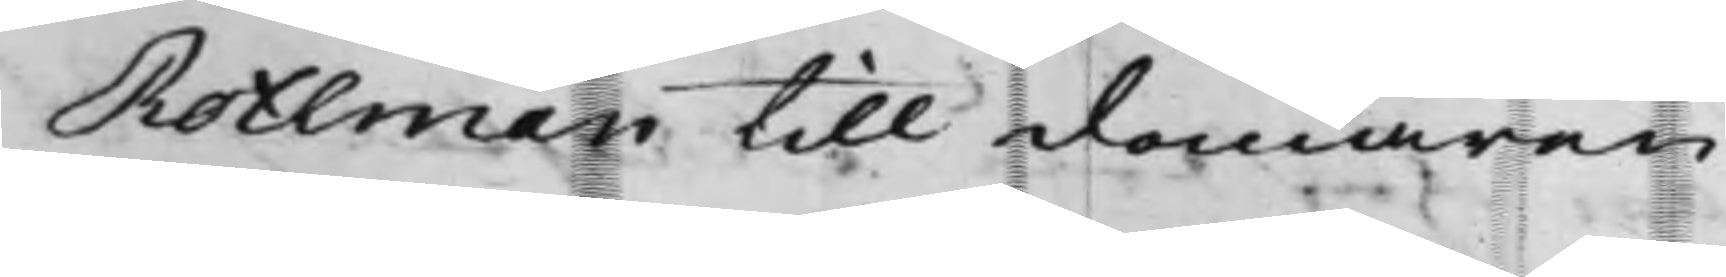Rothman till domaren
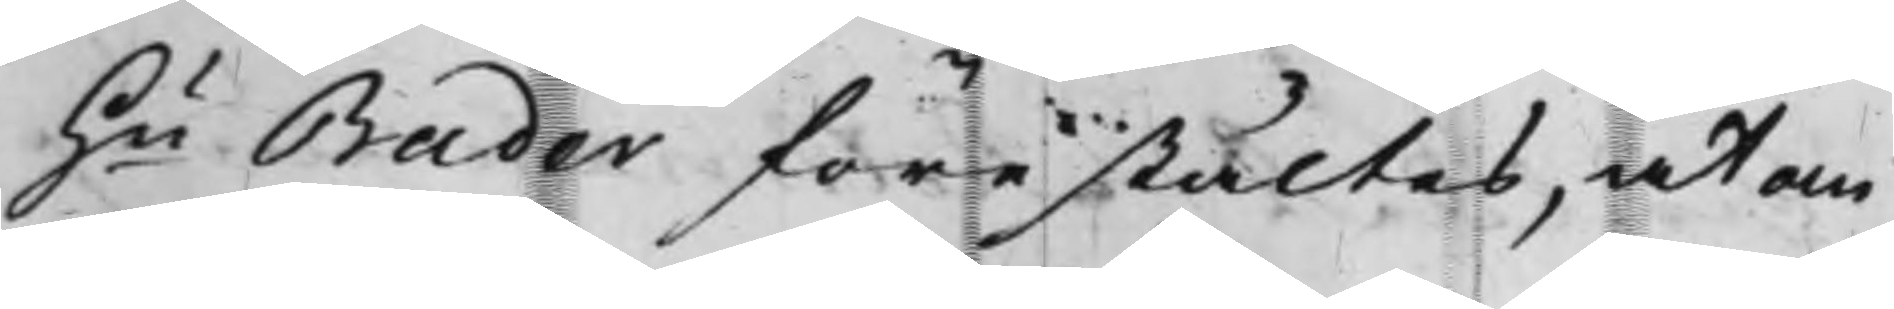Hu Bader förestältes, at om
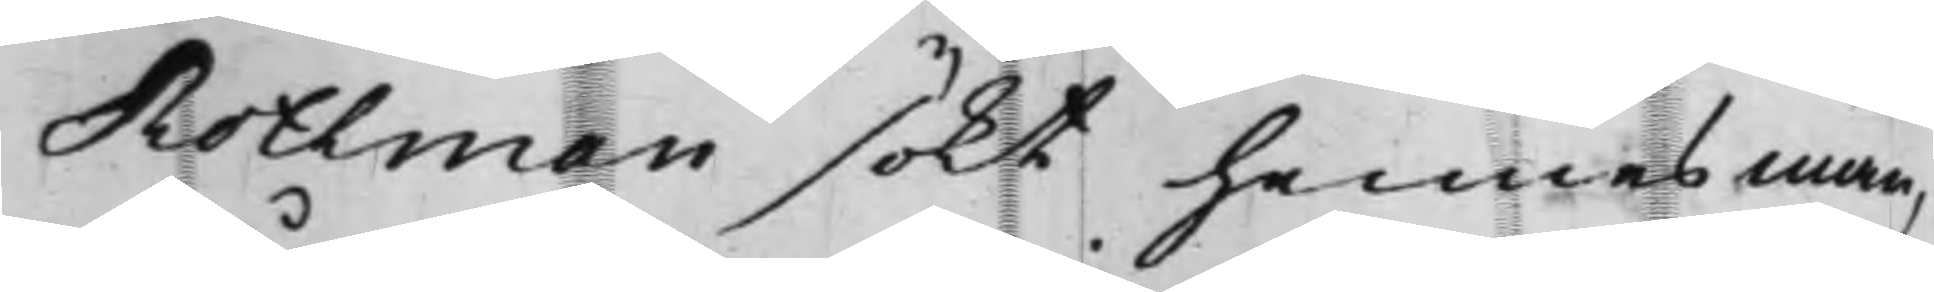Rothman sökt hennes man,
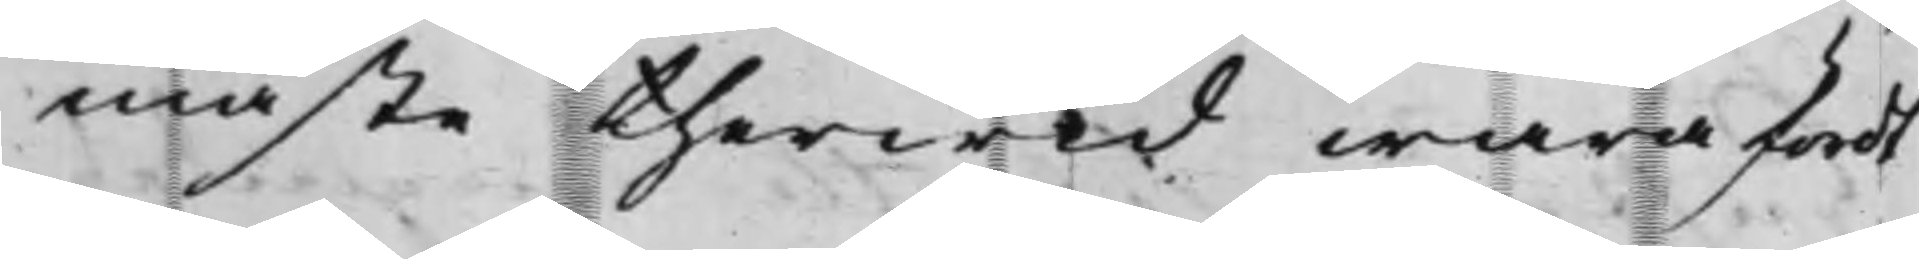måste therwid wara fördt
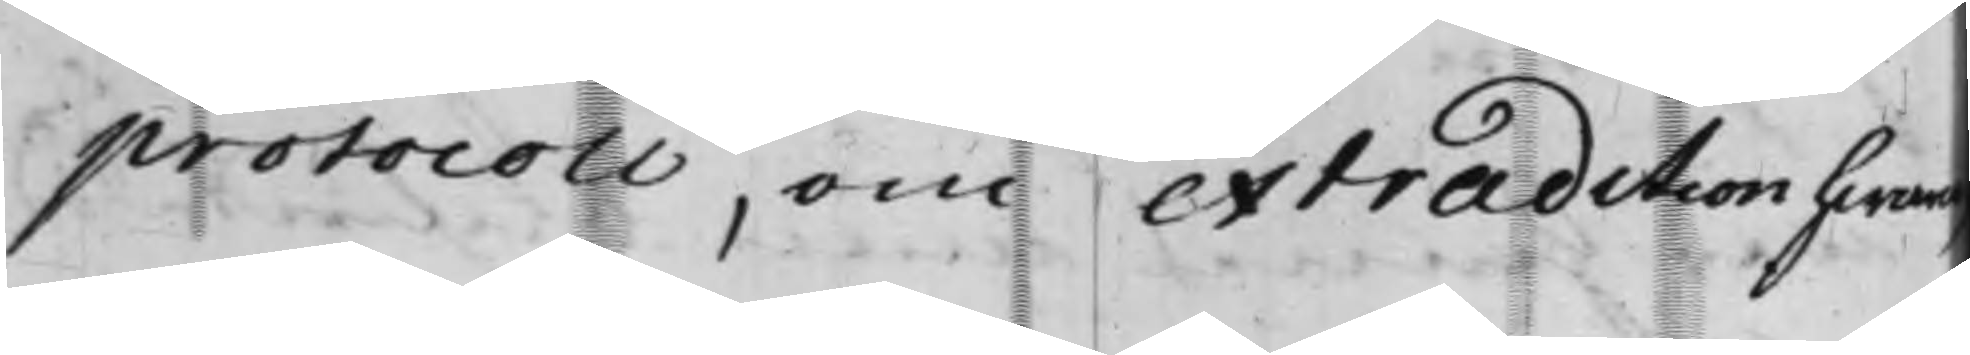protocoll, om extradition hwaro
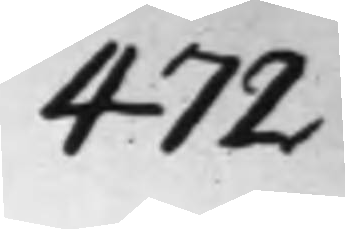472 476
